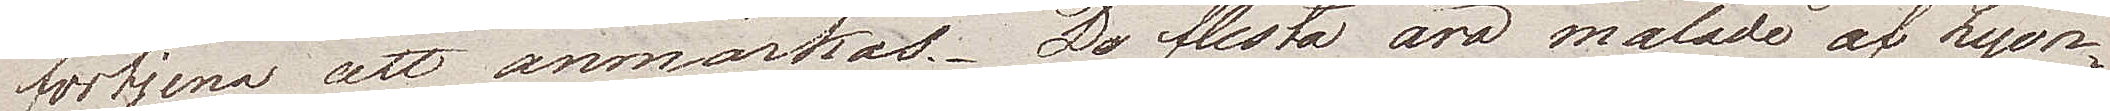förtjena att anmärkas. De flesta äro målade af Lyon¬
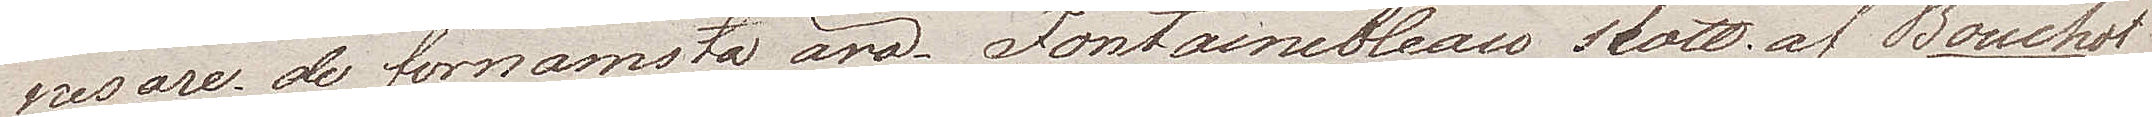nesare de förnämsta äro Fontainebleau slott af Bouchot
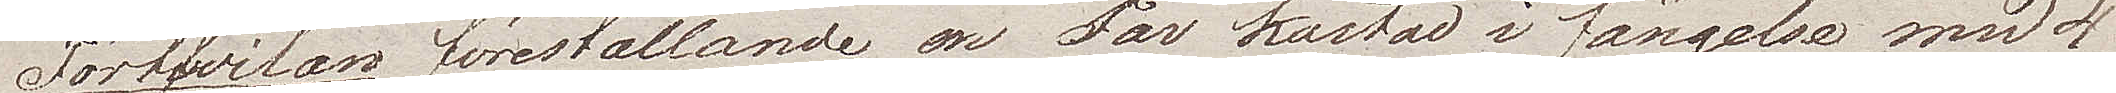Förtfvilan föreställande en Far kastad i fängelse med 4
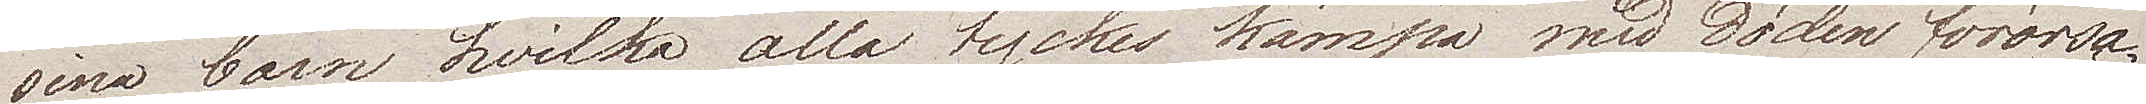sina barn hvilka alla tyckes kämpa med döden förorsa¬
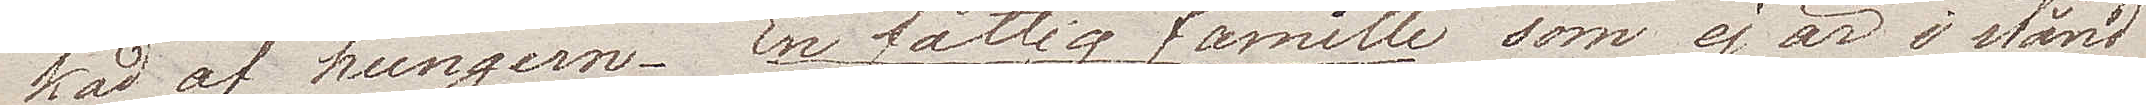kad af hungern. En fattig famille som ej är i stånd
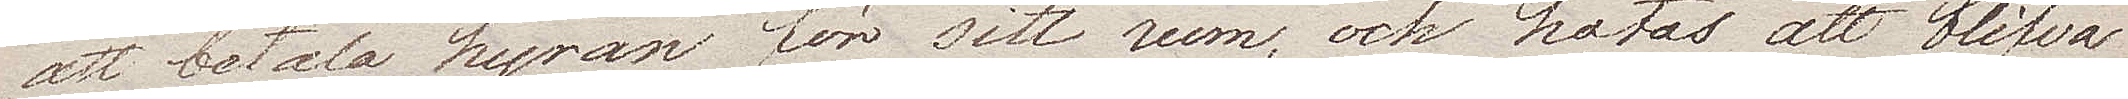att betala hyran för sitt rum, och hotas att blifva
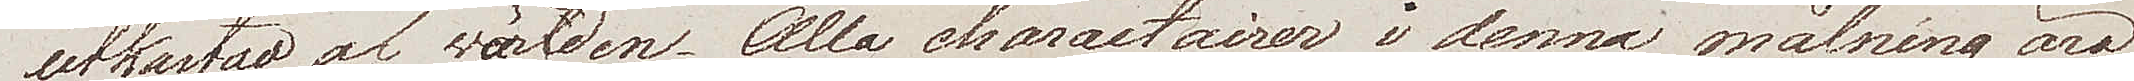utkastad af världen. Alla charactairer i denna målning äro
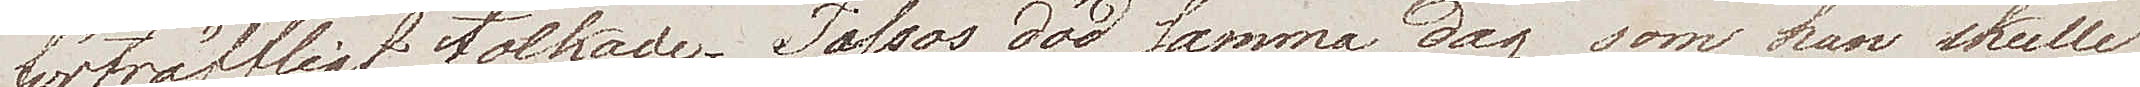förträffligt tolkade. Tassos död samma dag som han skulle
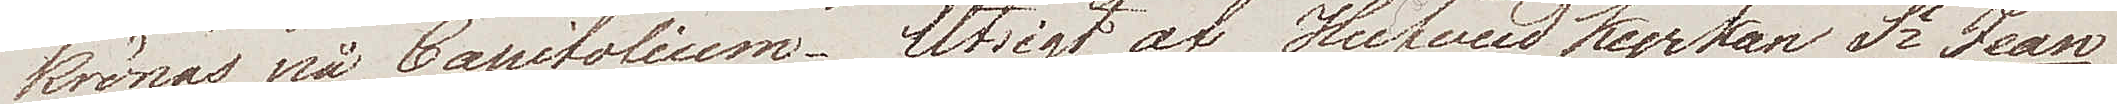krönas på Capitolium. Utsigt af Hufvud kyrkan Sct Jéan
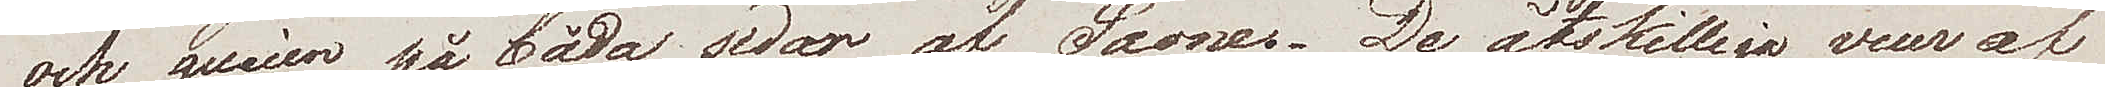och quaien på båda sidor af Saones. De åtskillige vuer af
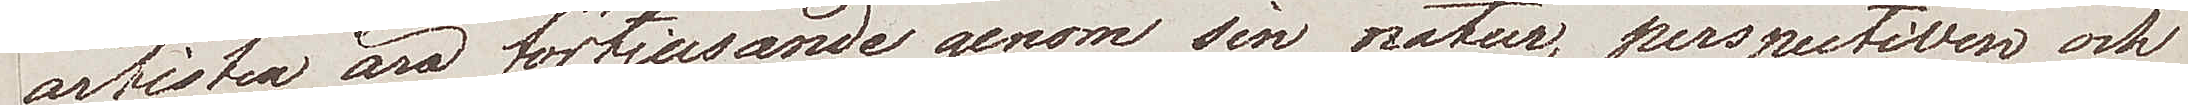artisten äro förtjusande genom sin natur, perspectiven och
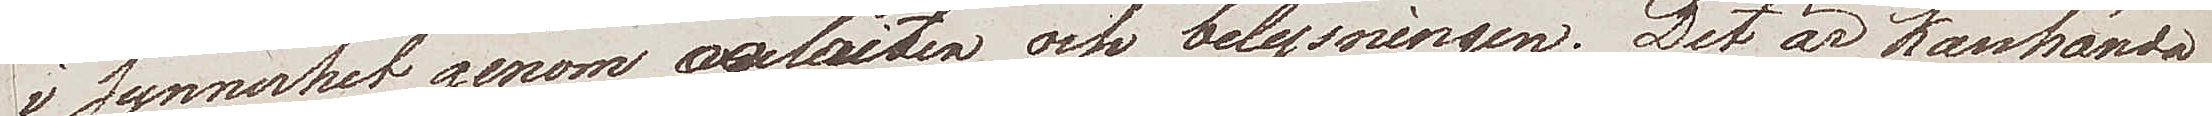i synnerhet genom coloriten och belysningen. Det är kanhända
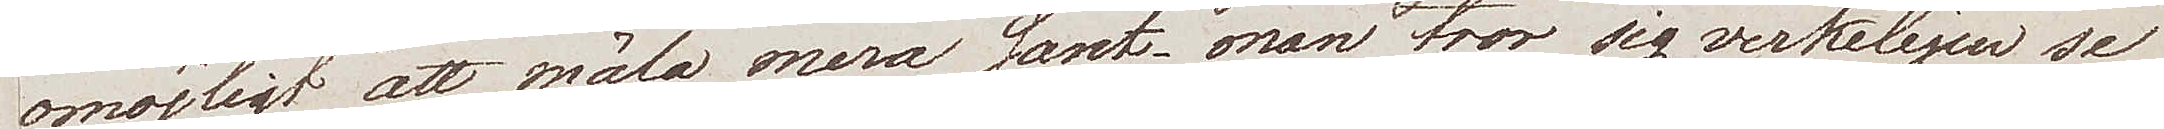omöjligt att måla mera sant, man tror sig verkeligen se
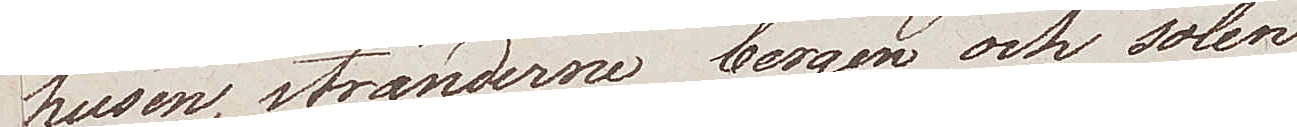husen, stränderne, bergen och solen
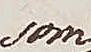som
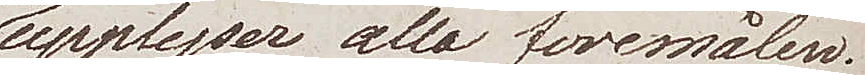upplyser alla föremålen.
